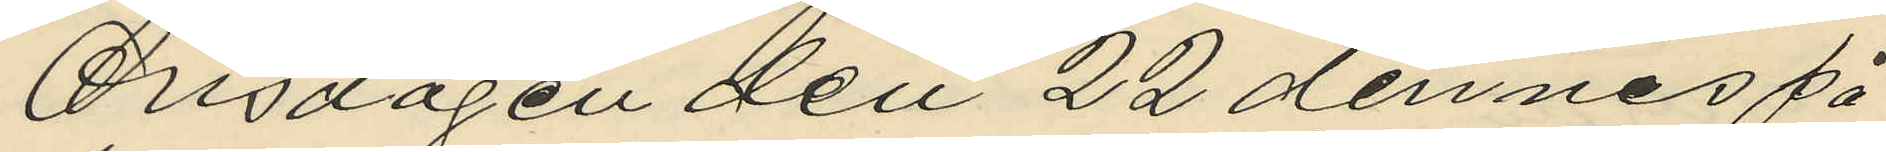Onsdagen den 22 dennes på
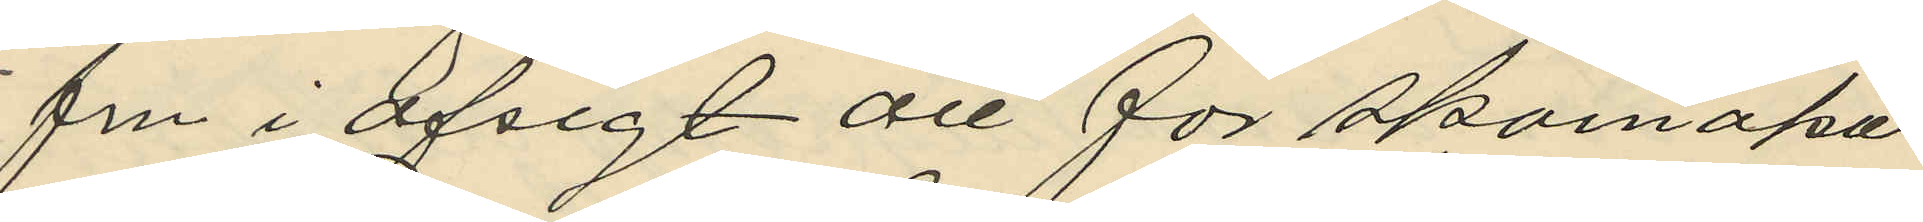fm i afsigt att för skomaka
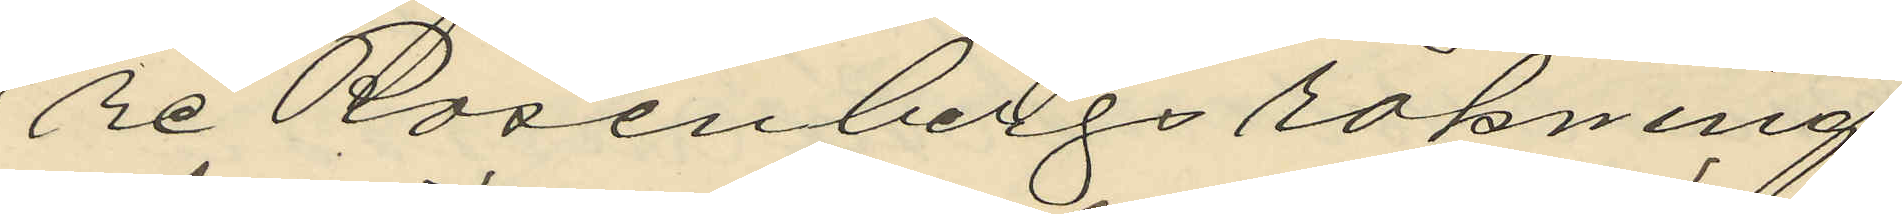re Rosenbergs räkning
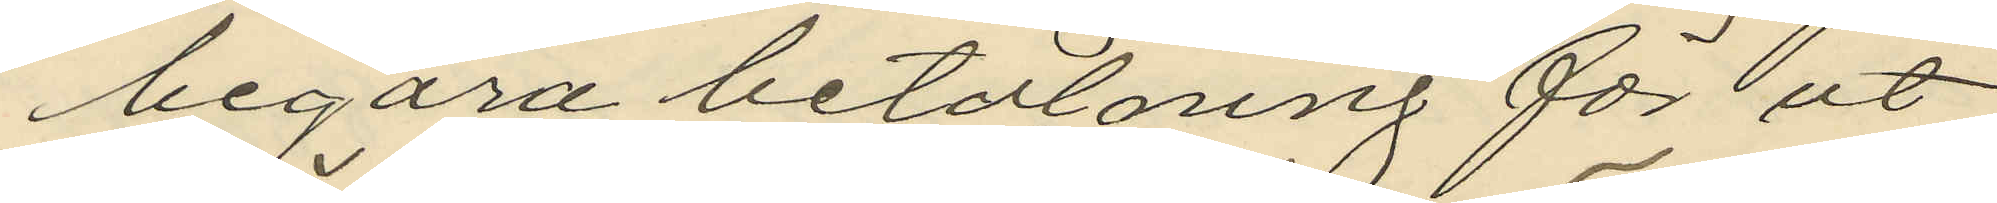begära betalning för ut
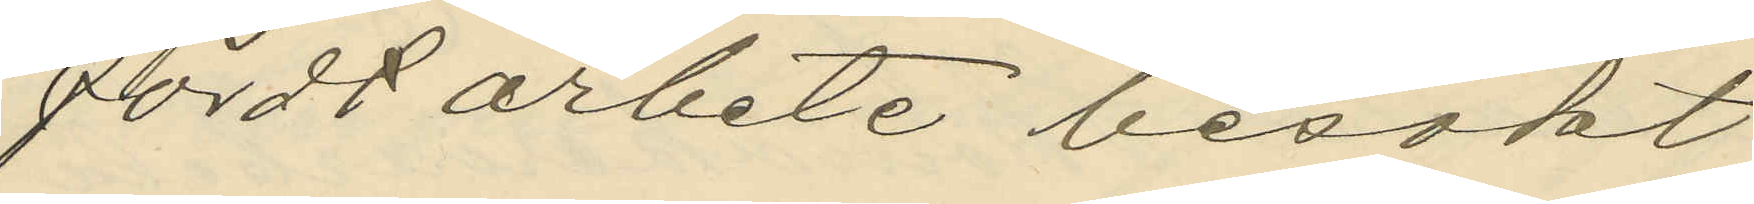fördt arbete besökt
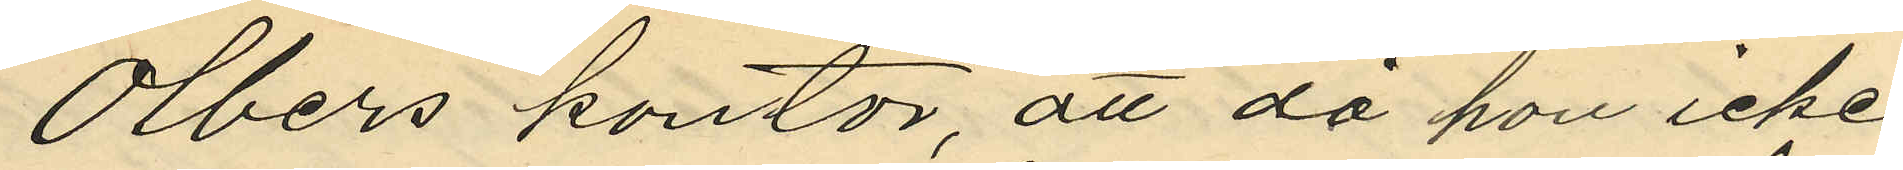Olbers kontor, att då han icke
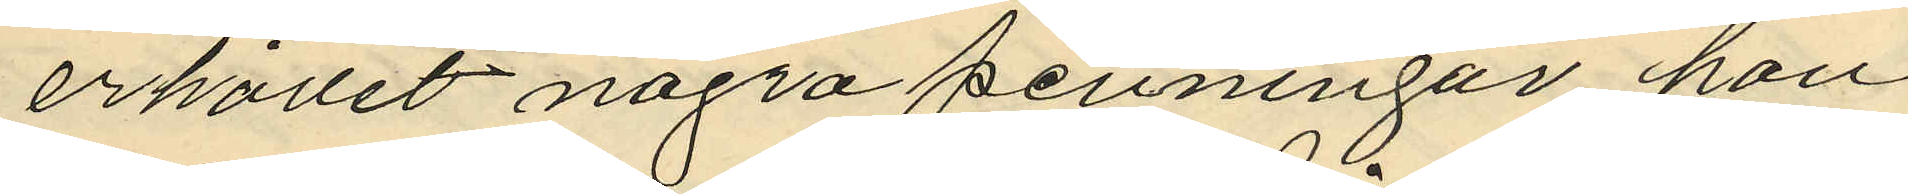erhållit några penningar han
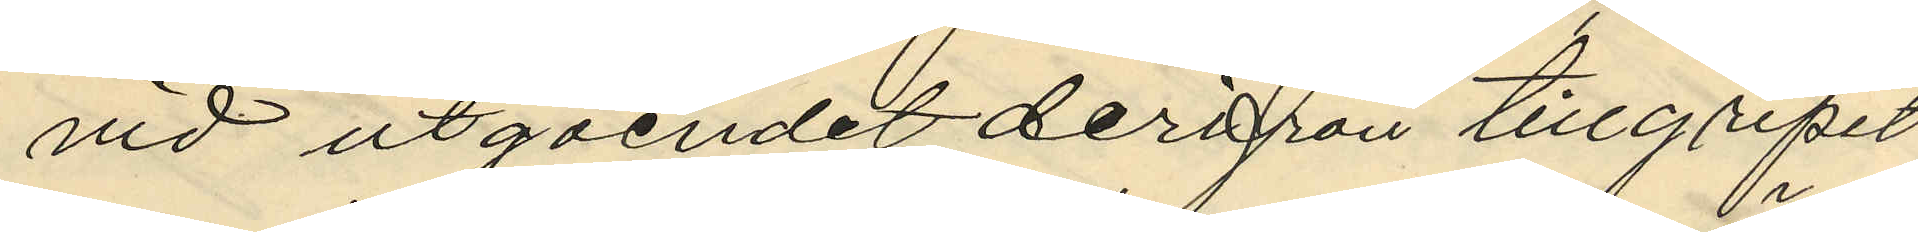vid utgåendet derifrån tillgripit
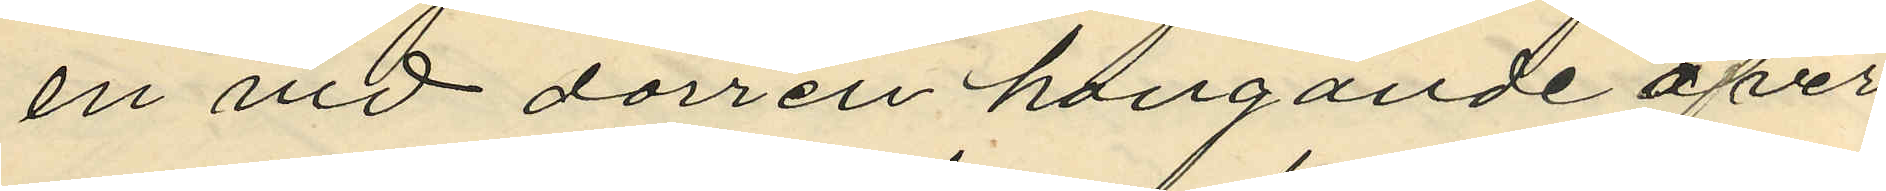en vid dörren hangande öfver
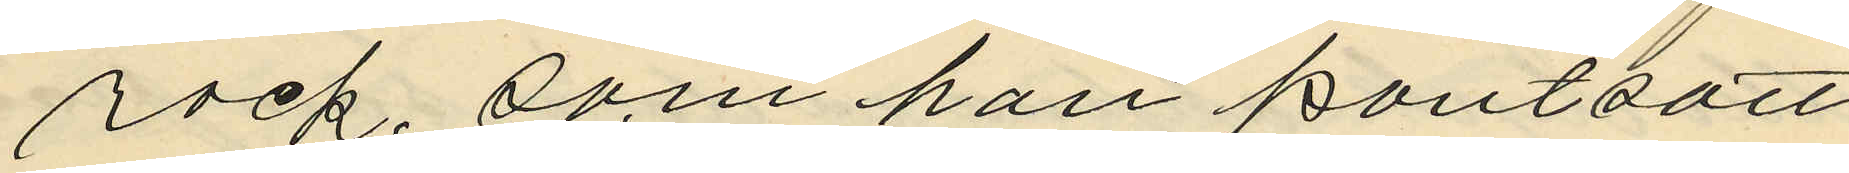rock, som han pantsatt
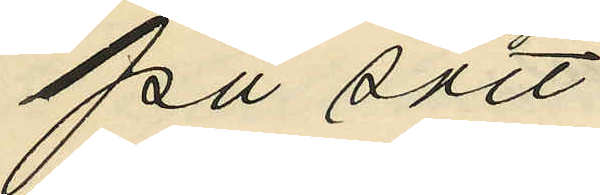på sätt
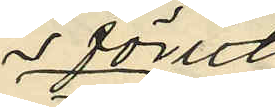förut
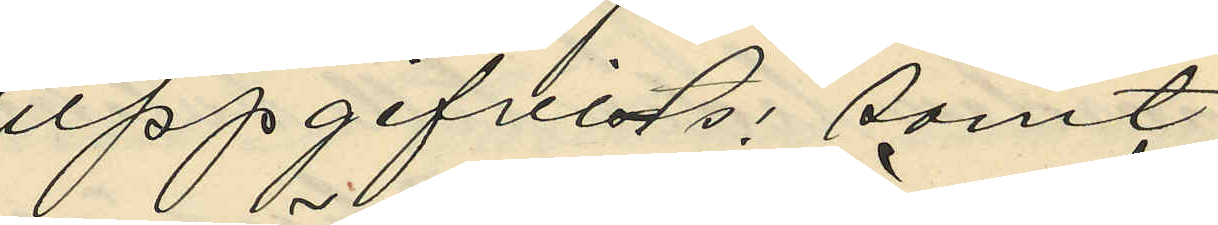uppgifvits; samt
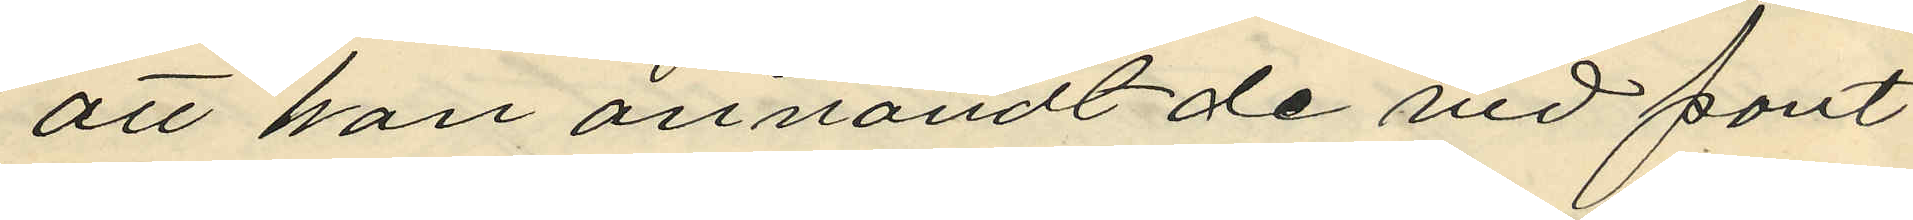att han användt de vid pant
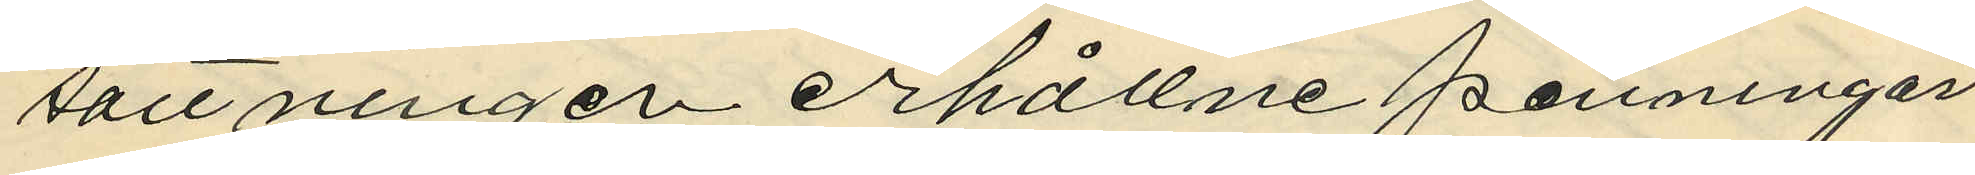sättningen erhållne penningar
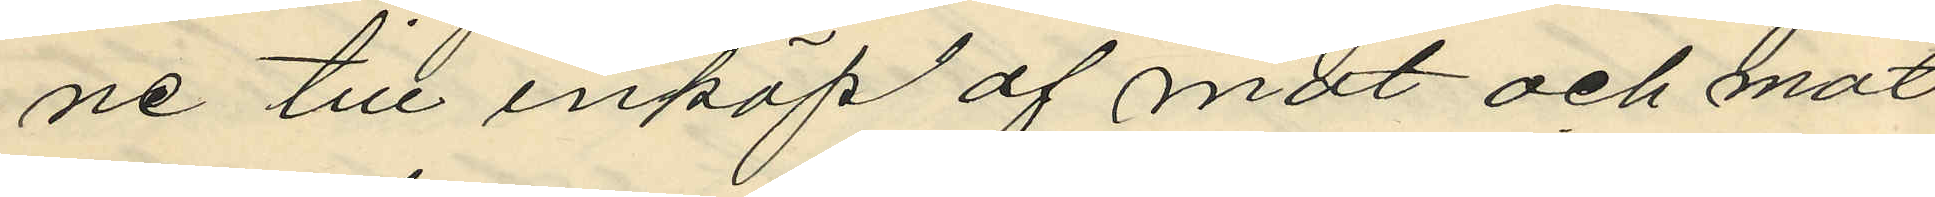ne till inköp af mat och mat
